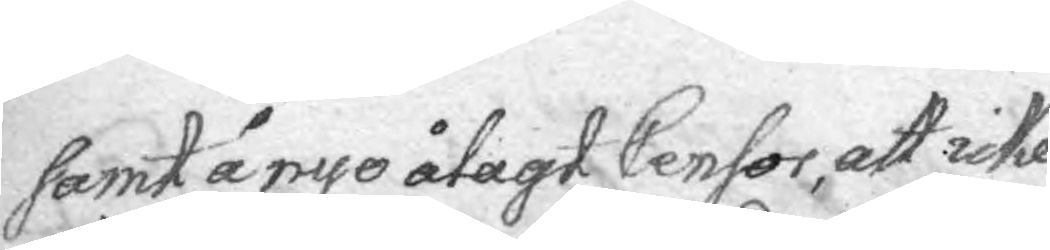samt å nyo ålagt Censor, att icke
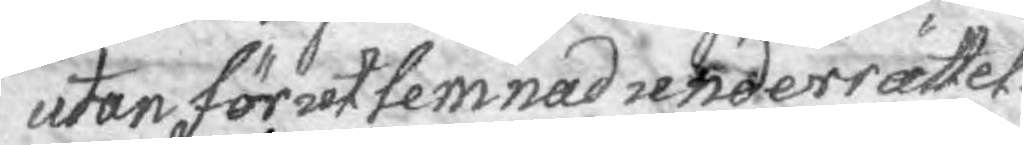utan förutlemnad underrättel¬
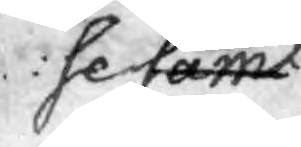se samt
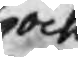och
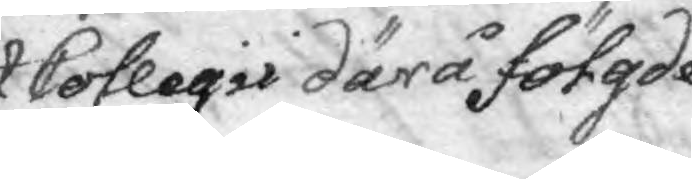Collegii därå fölgde
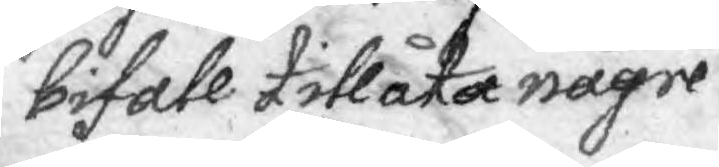bifall tillåta någre
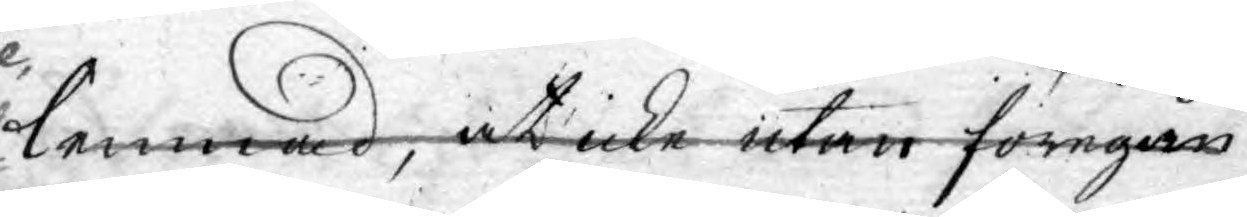lemnad, at icke utan föregån¬
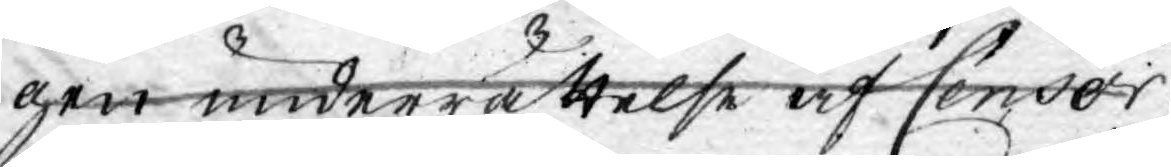gen underrättelse af Censor
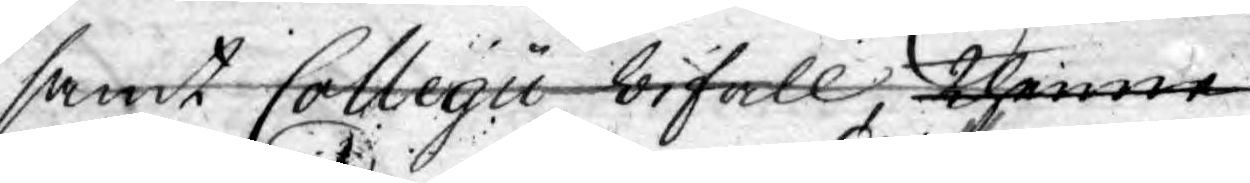samt Collegii bifall, thenne
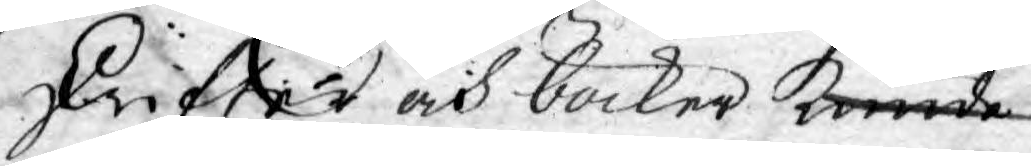skrifter och böcker kunde
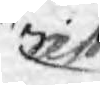att
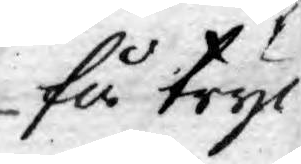få tryc¬
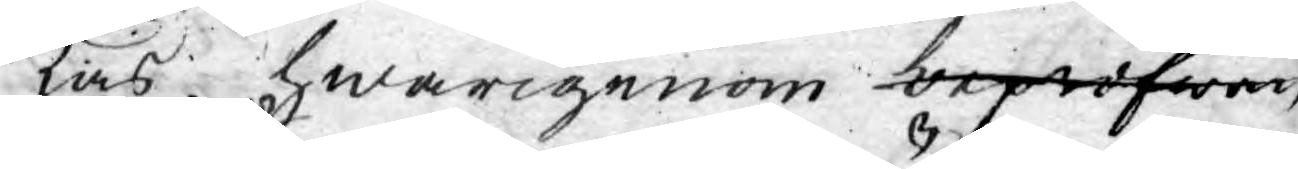kas hwarigenom bepröfwan¬
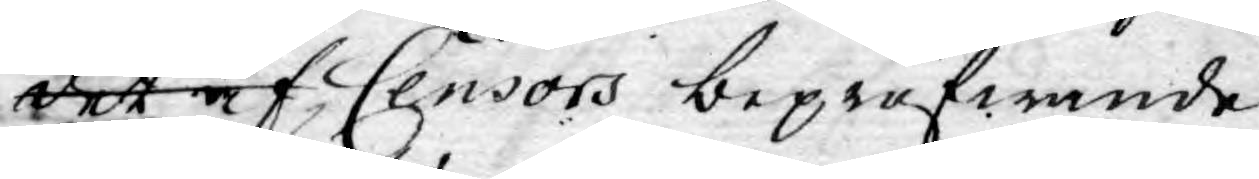det af ei allenast Censors bepröfwande
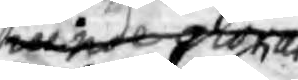kunde giöras
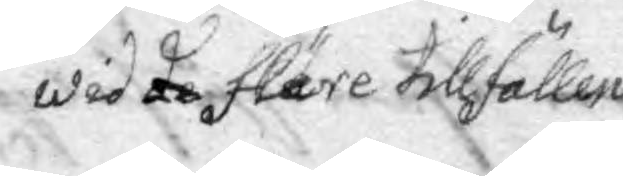wid de fläere tillfällen
